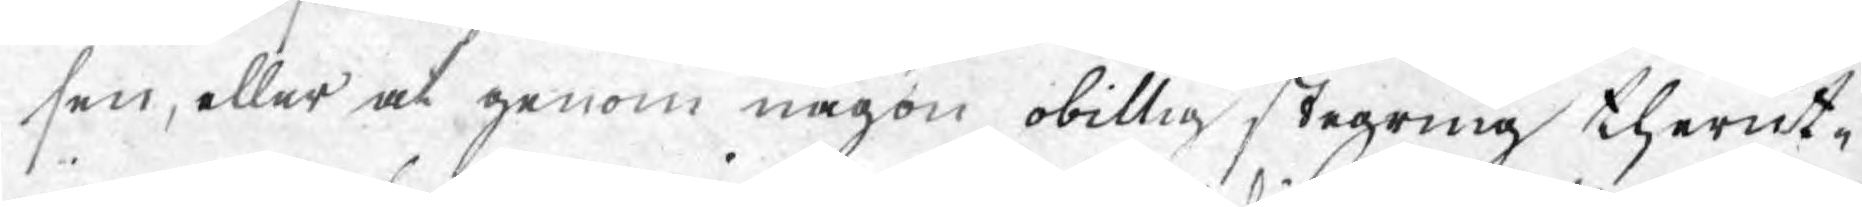sen, eller at genom någon obillig stegring therut¬
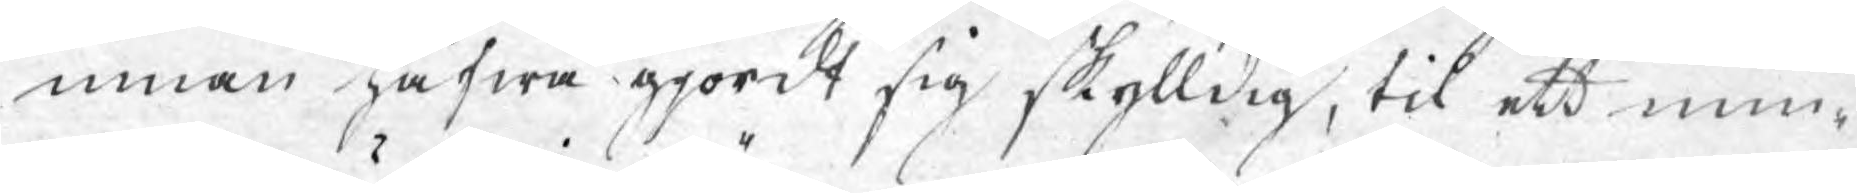innan hafwa gjordt sig skylldig, til ett min¬
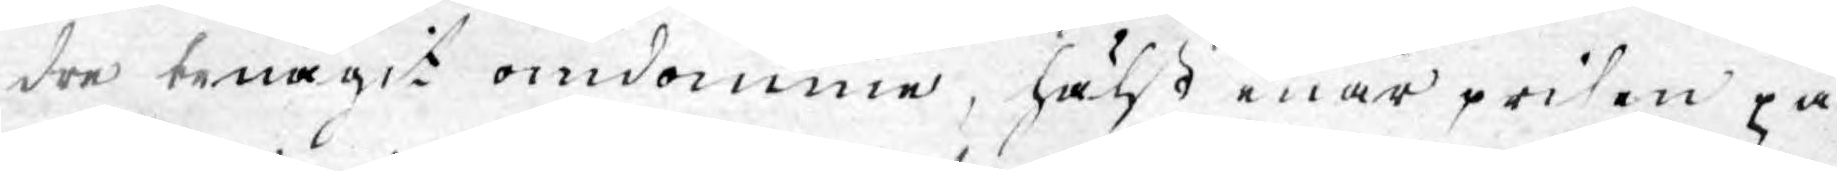dre benägit omdömme, hälßt enär prisen på
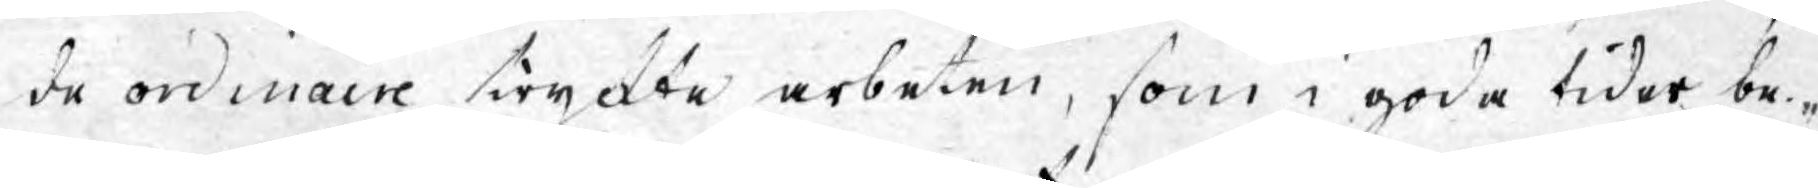de ordinaire tryckte arbeten, som i goda tider be¬
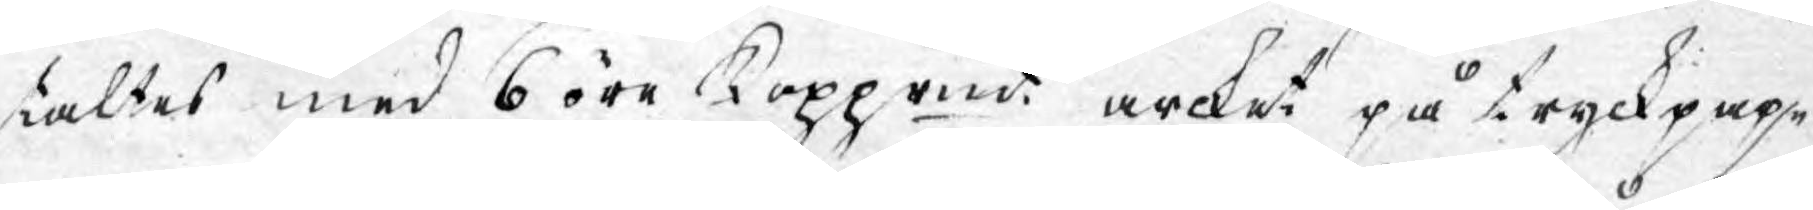taltes med 6 öre Kopprmt arcket på tryckpap¬
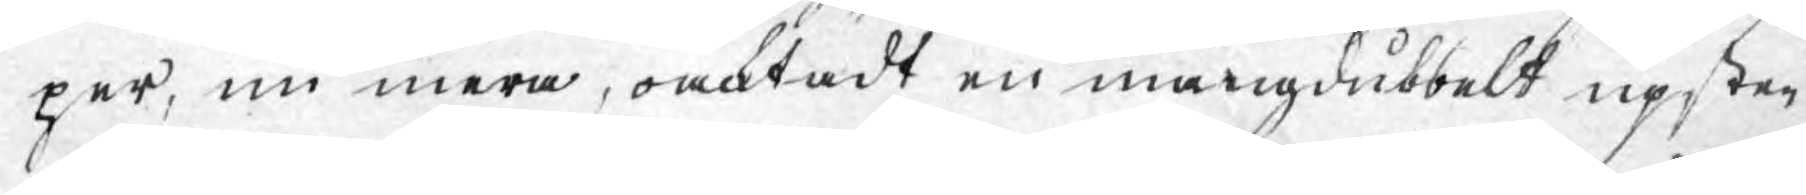per, nu mera, oaktadt en mångdubbelt upsti¬
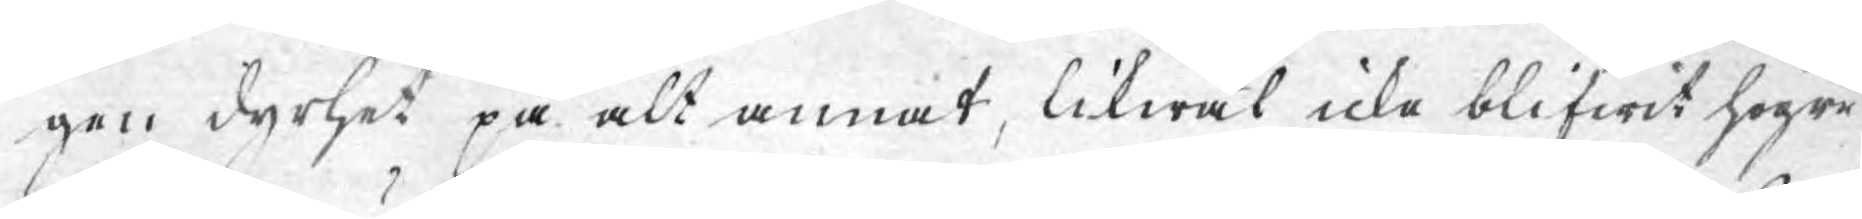gen dyrhet på alt annat, likwäl icke blifwit högre
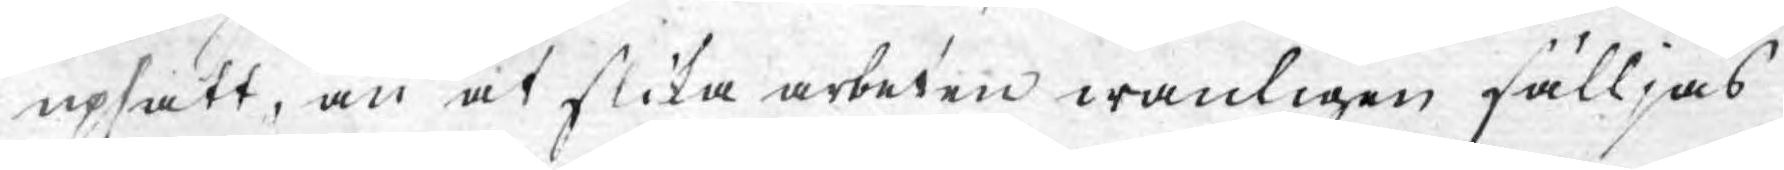upsatt, än at slika arbeten wanligen säljas
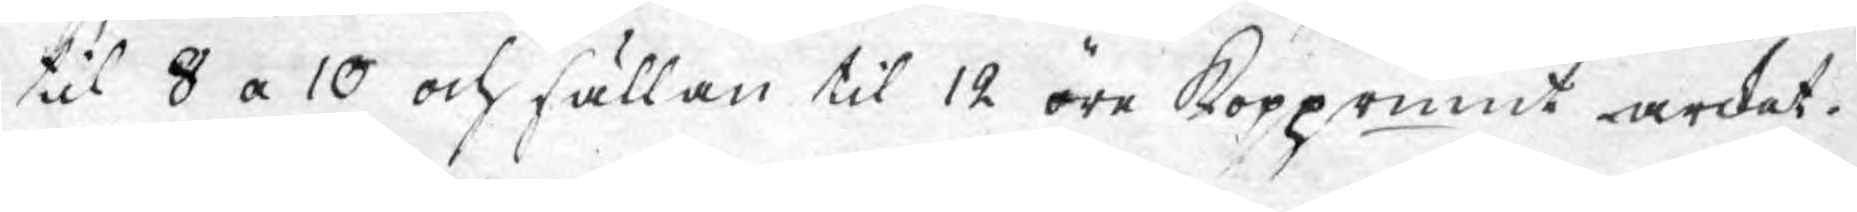till 8 a 10 och sällan til 12 öre Kopprmnt arket.
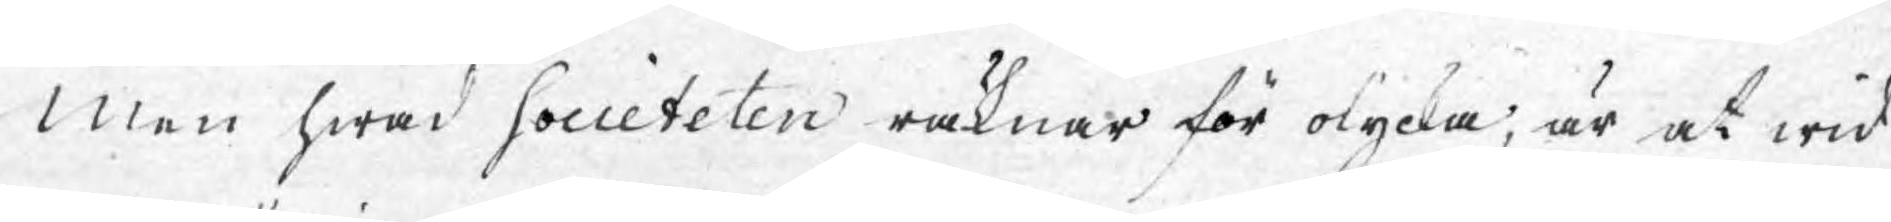Men hwad Societeten räknar för olycka, är at wid
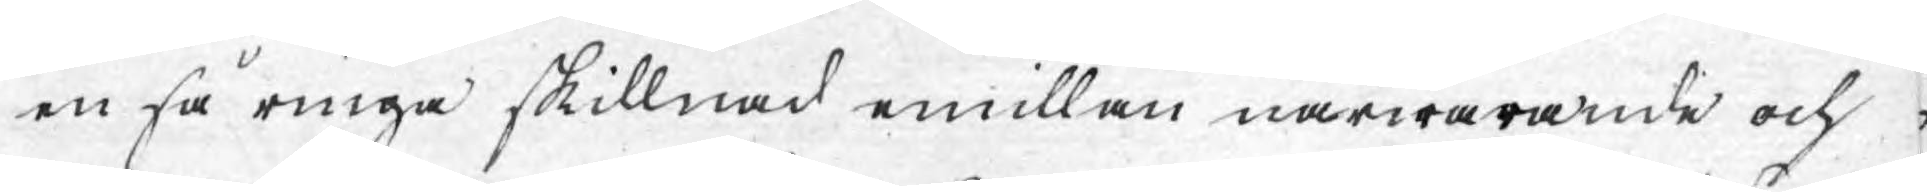en så ringa skillnad emillan närwarande och
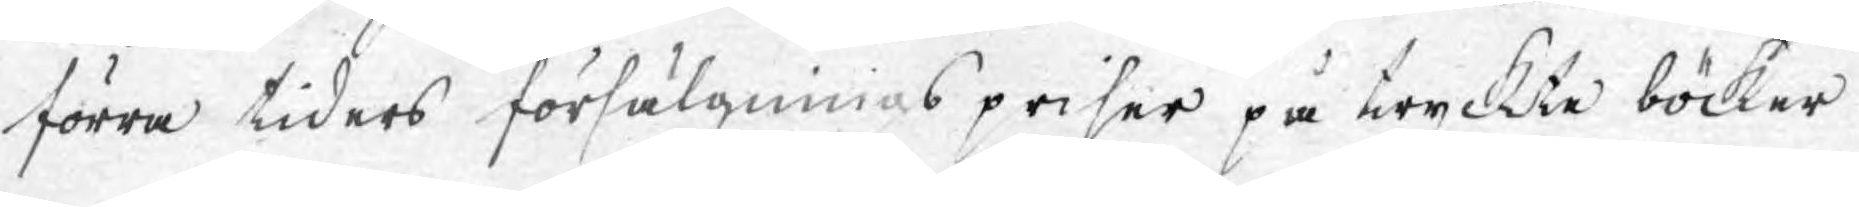förra tiders försälgningspriser på tryckte böcker
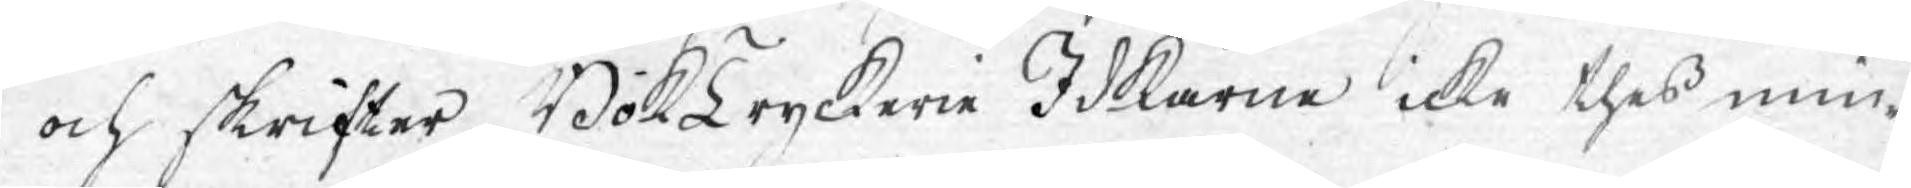och skrifter, Boktryckerie Idkarne icke thess min¬
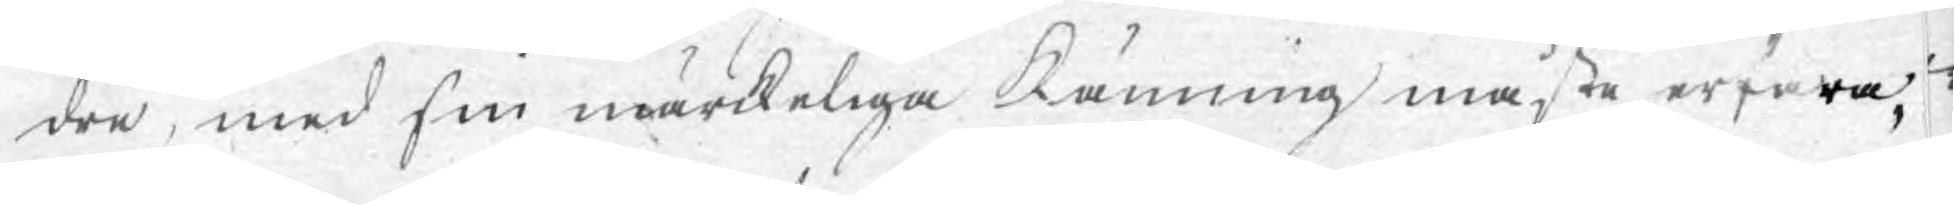dre, med sin märckeliga Känning måste erfara,
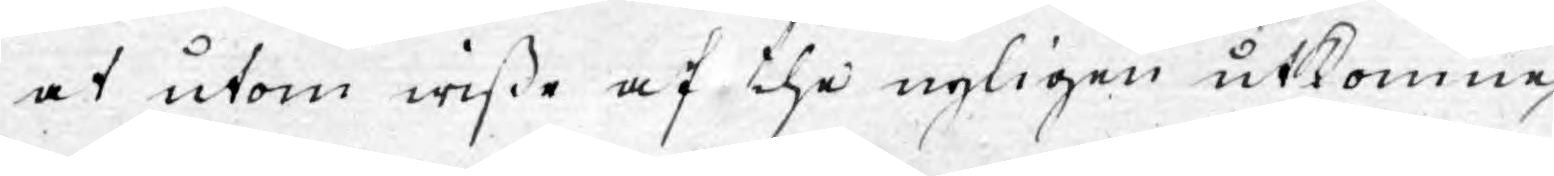at utom wisse af the nyligen utkomne
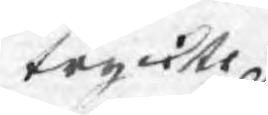tryckte
